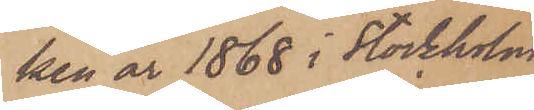ken år 1868 i Stockholm
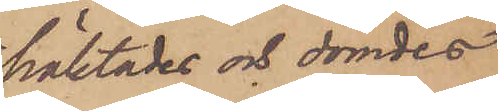häktades och dömdes
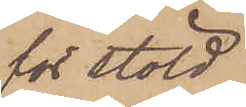för stöld
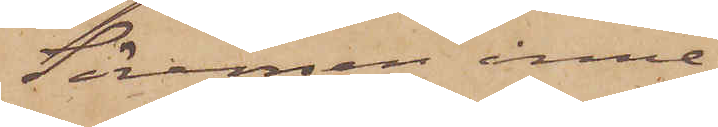Sörensen inne¬
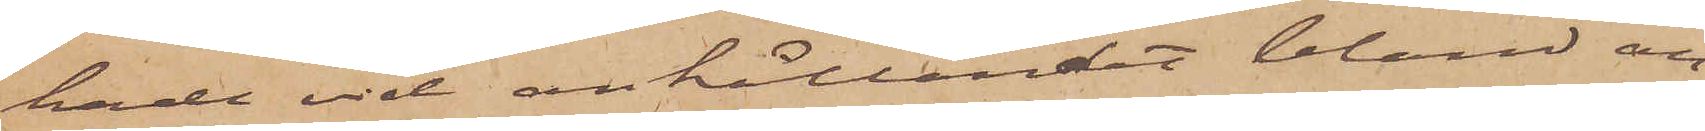hade vid anhållandet bland an¬
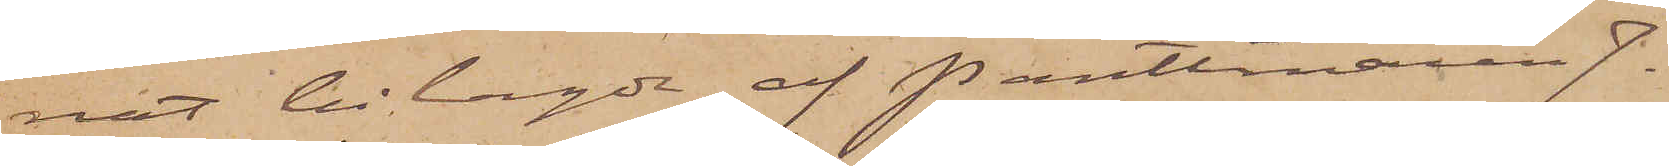nat bilagde af Pantlånaren J.
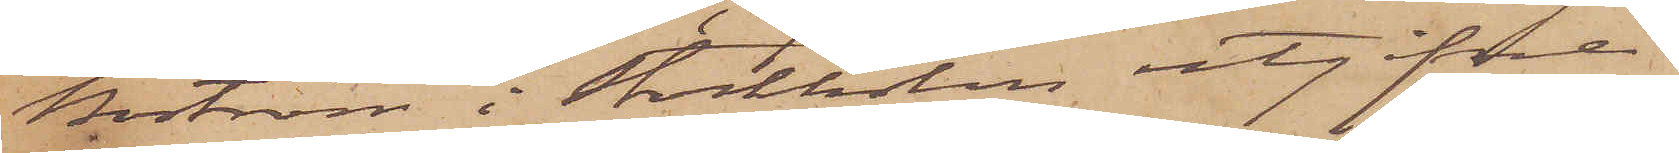Boström i Stockholm utgifne
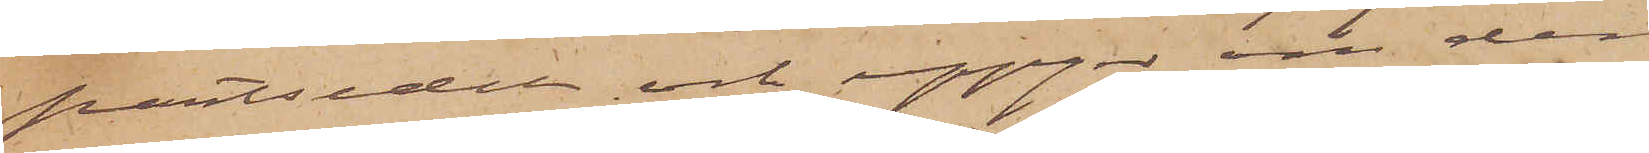pantsedel och uppger om den¬
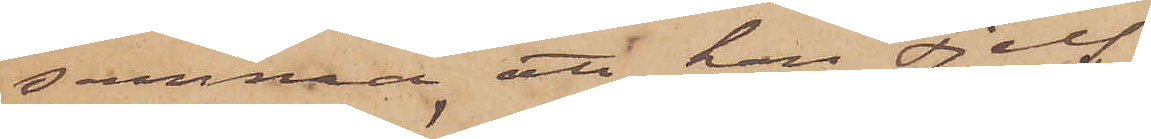samma, att han sjelf
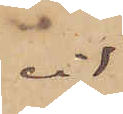vid
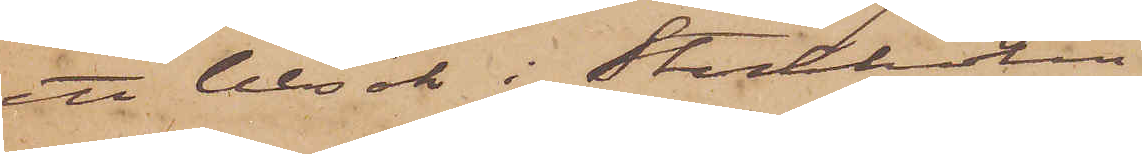ett besök i Stockholm
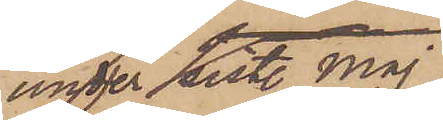under sistl. Maj
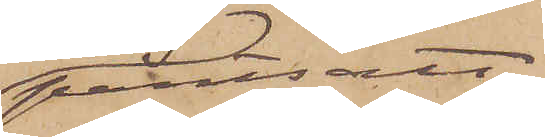pantsatt
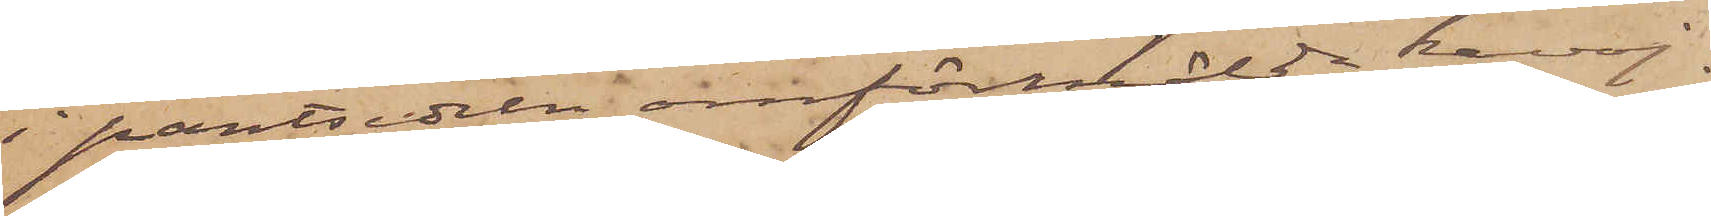i pantsedeln omförmälde kavaj.
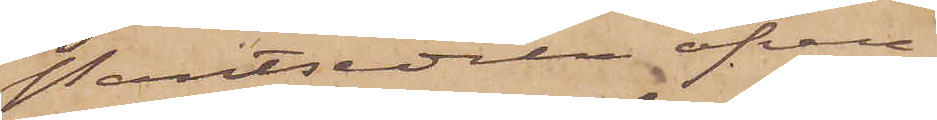Pantsedeln öfver¬
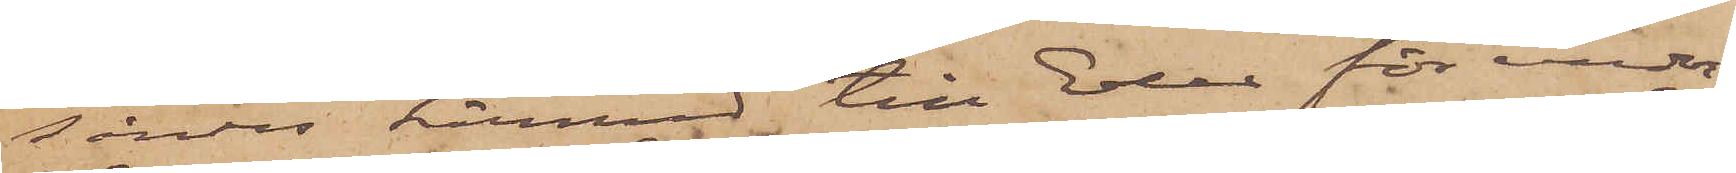sändes härmed till Eder för under¬
